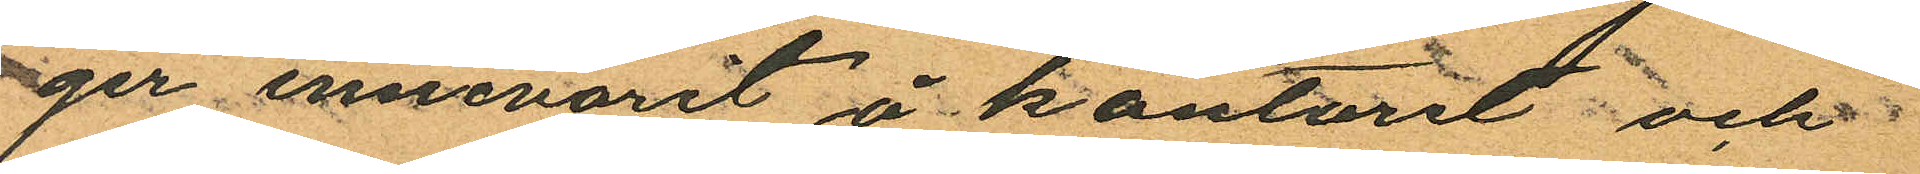ger innevarit å kontoret och
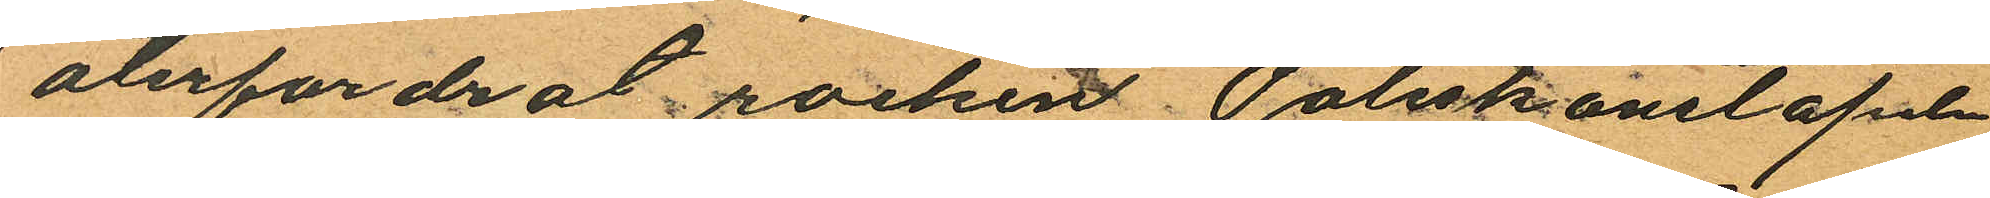återfordrat rocken Poliskonstapeln
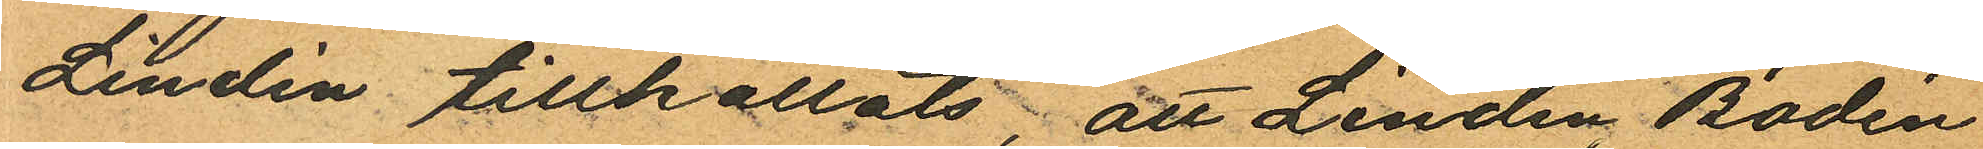Lindén tillkallats; att Lindén, Bodén
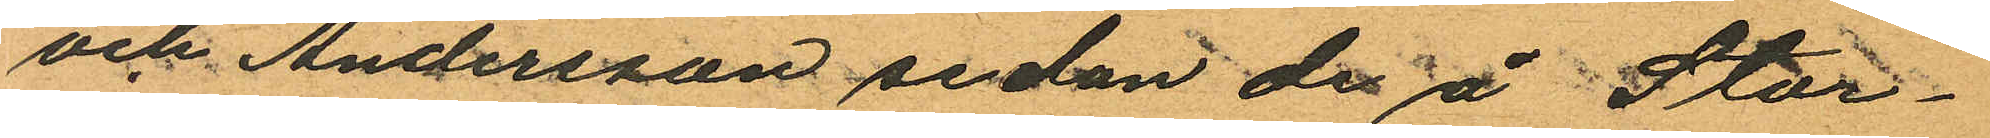och Andersson sedan de å Stor¬
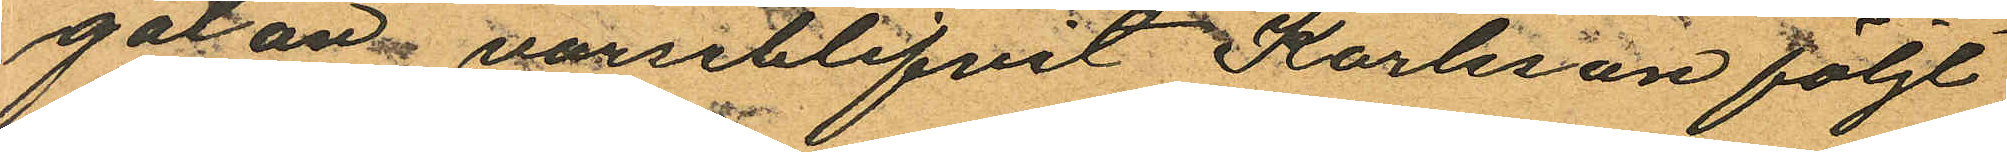gatan varseblifvit Karlsson följt
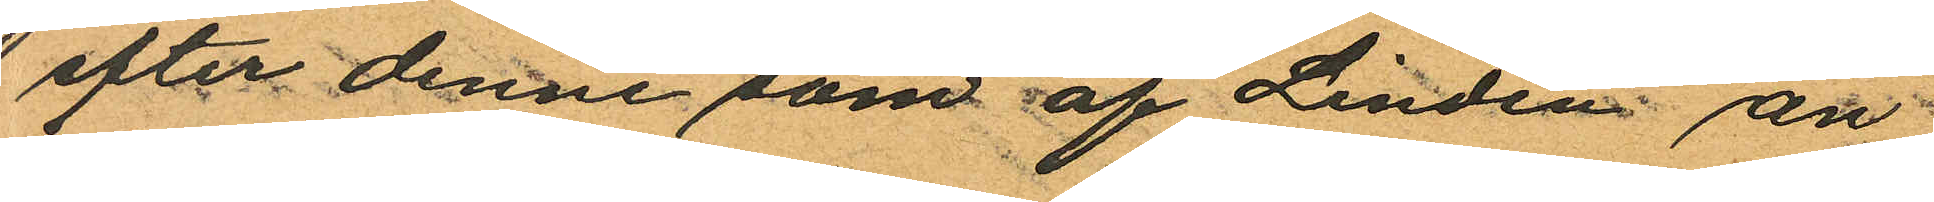efter denne som af Linden an
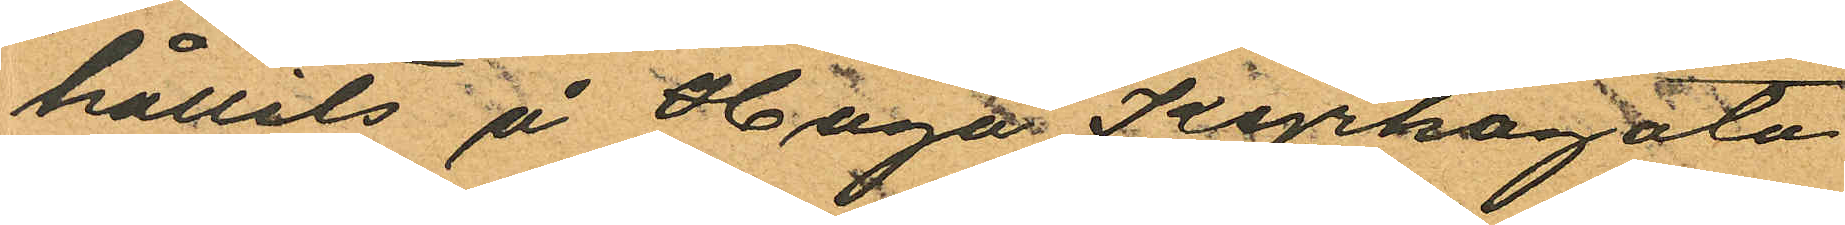hållits å Haga Kyrkogata
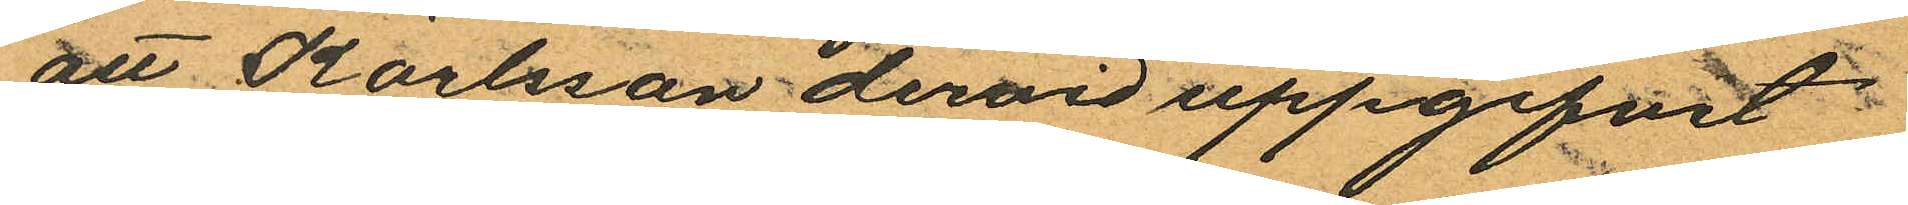att Karlsson dervid uppgifvit
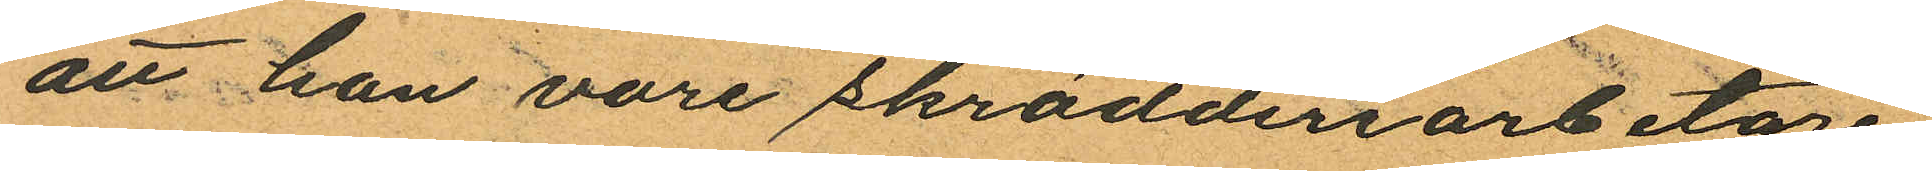att han vore skrädderiarbetare
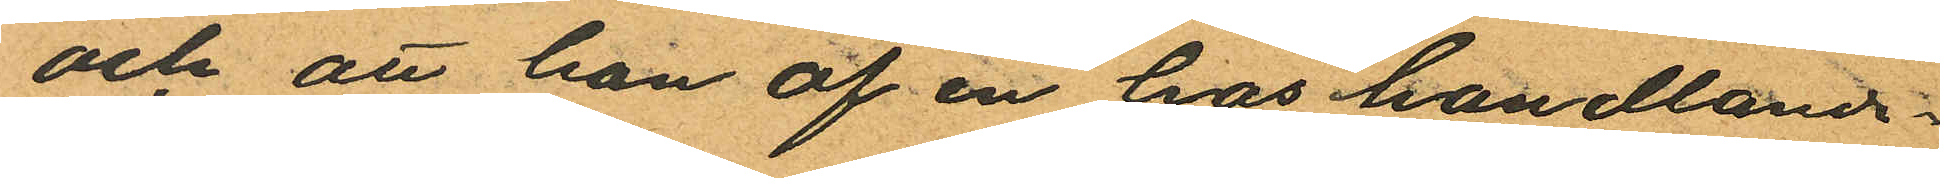och att han af en hos handlande
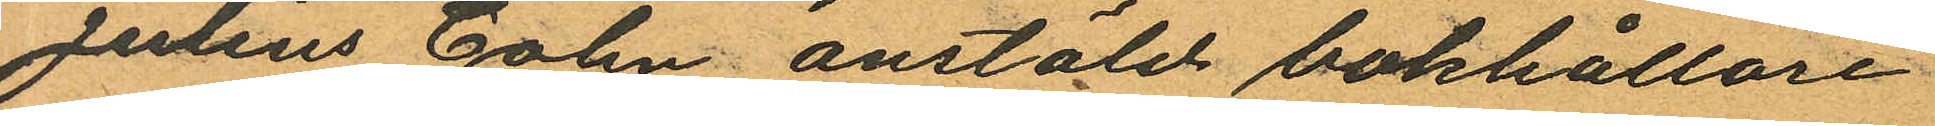Julius Cohn anstäld bokhållare
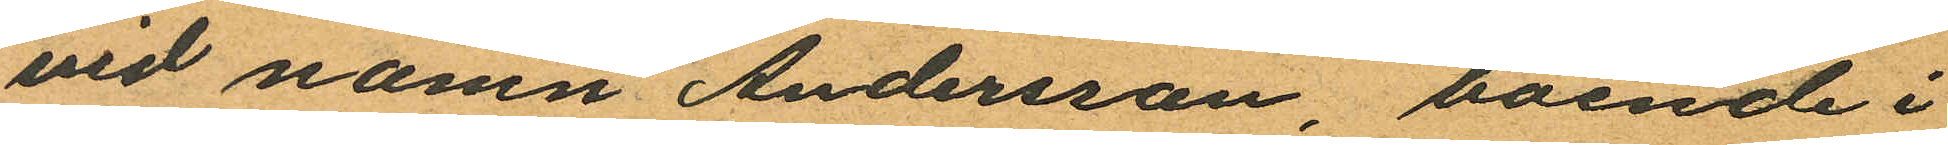vid namn Andersson, boende i
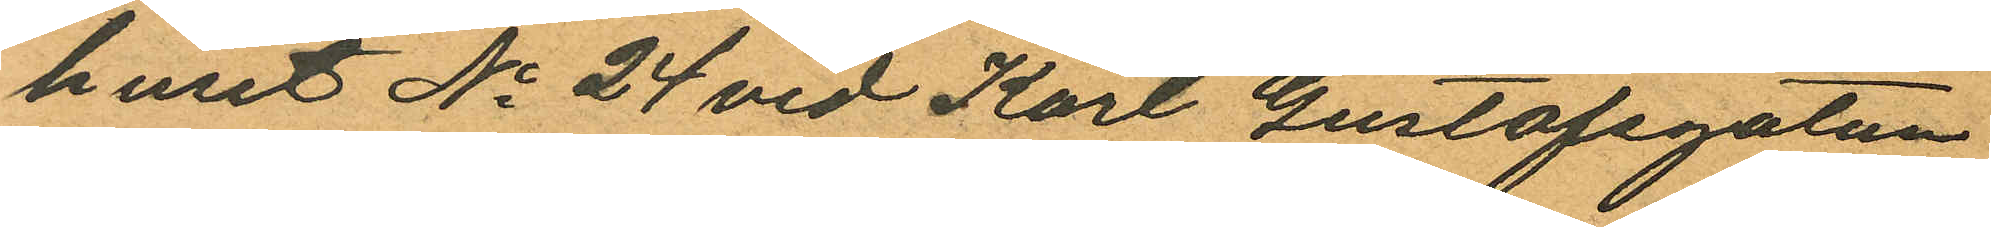huset No 24 vid Karl Gustafsgatan
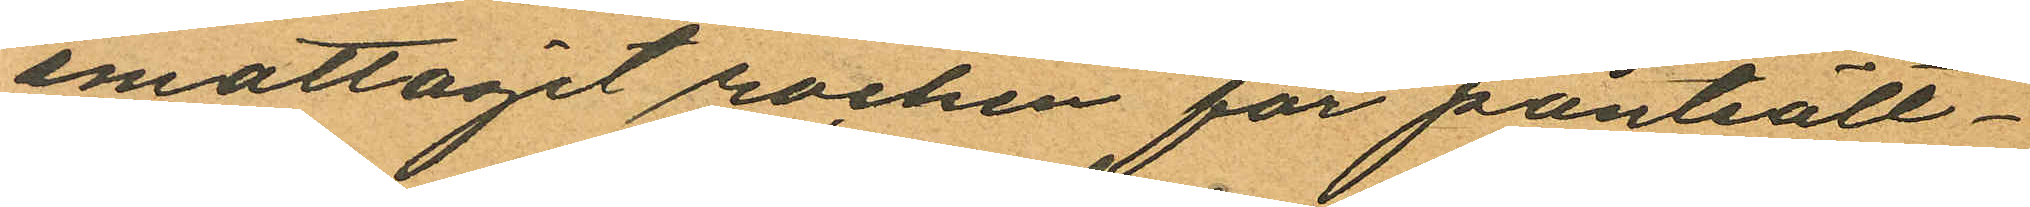emottagit rocken för pantsätt¬
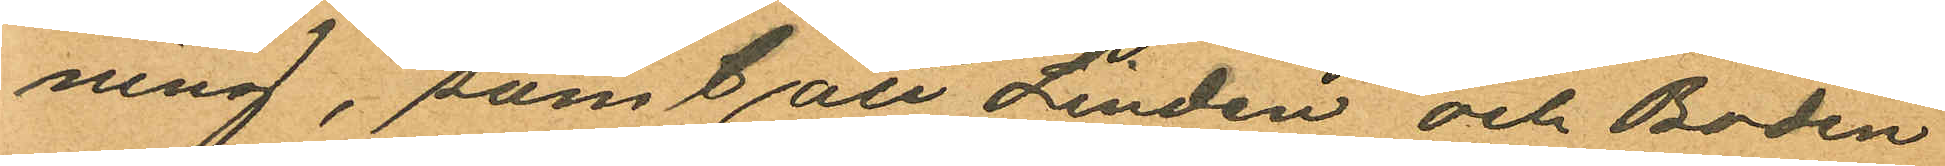ning, samt att Linden och Bodén
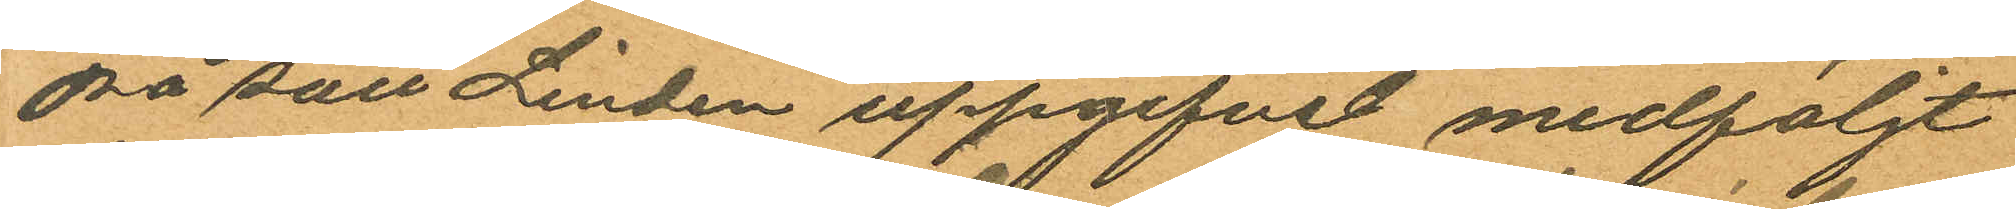på sätt Linden uppgifvit medföljt
